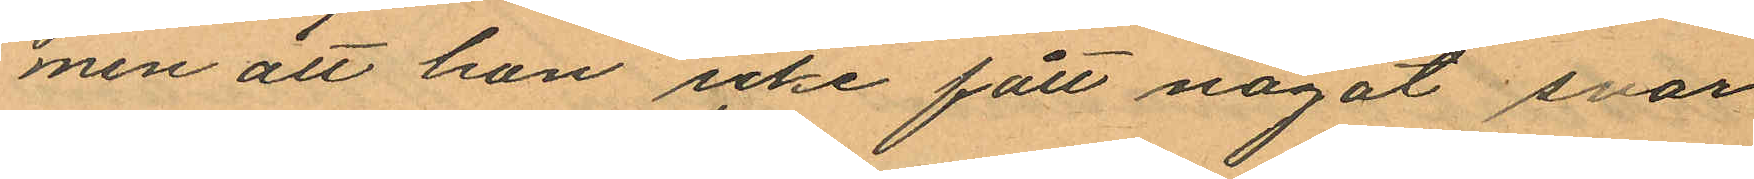men att hon icke fått något svar
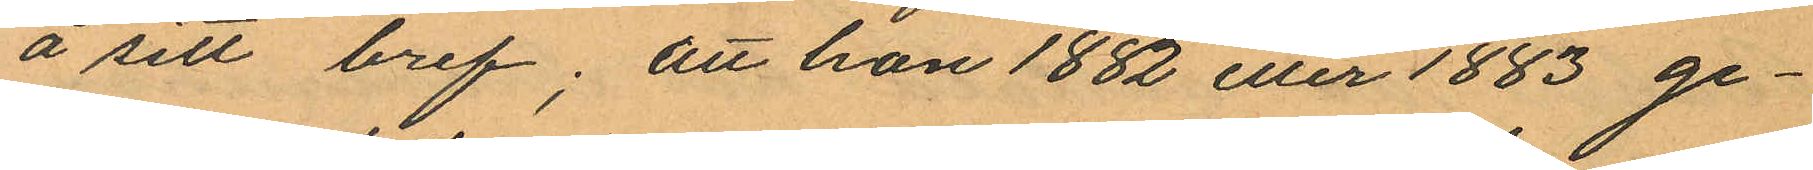å sitt bref; att hon 1882 eller 1883 ge¬
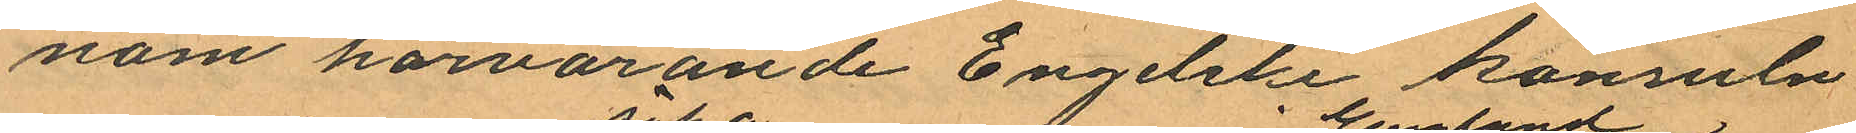nom härvarande Engellske konsuln
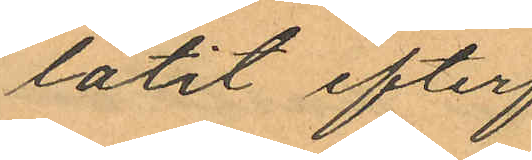låtit efter¬
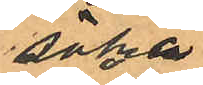söka
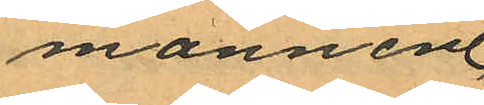mannen
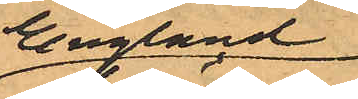i England
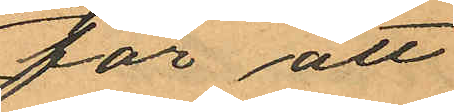för att
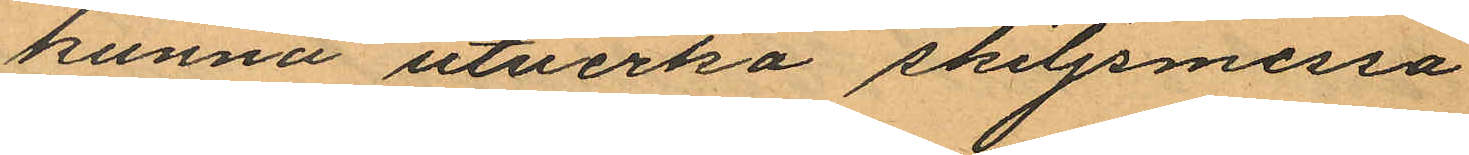kunna utverka skiljsmessa
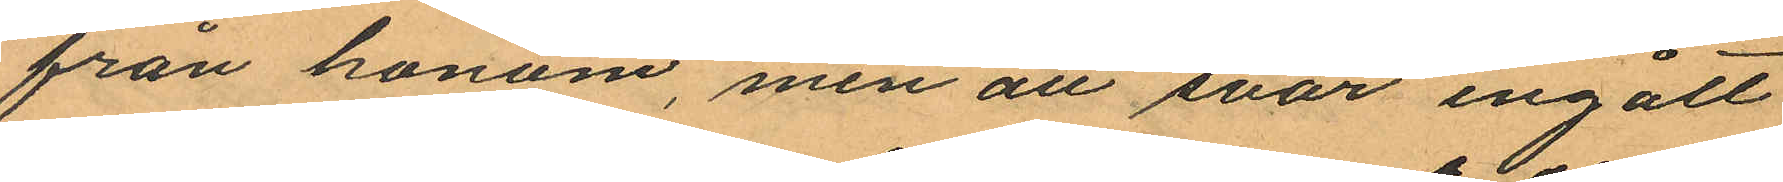från honom, men att svar ingått
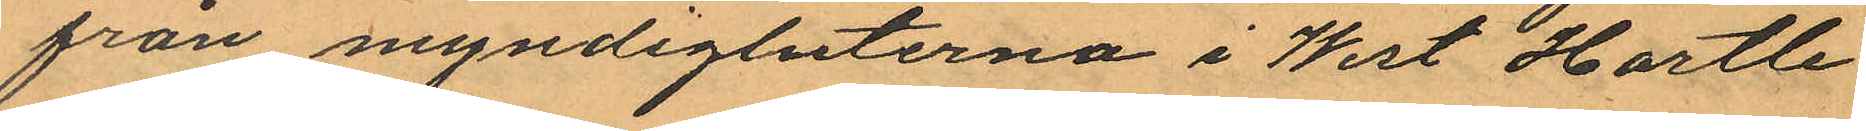från myndighuterna i West Hartle¬
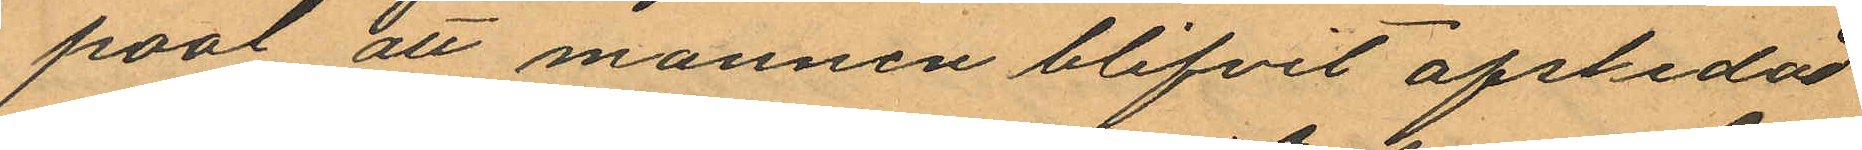pool att mannen blifvit afskedad
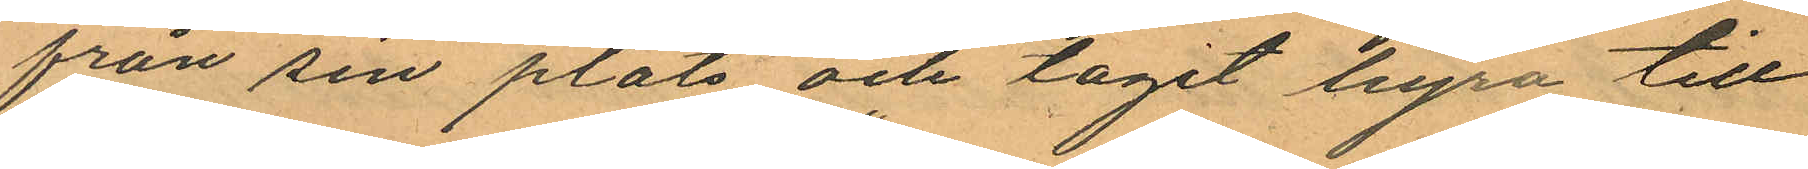från sin plats och tagit hyra till
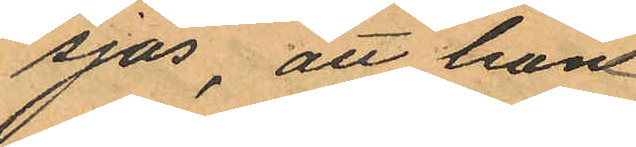sjös, att hon
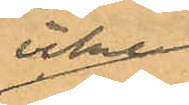icke
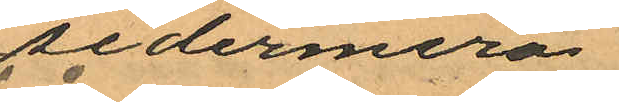sedermera
